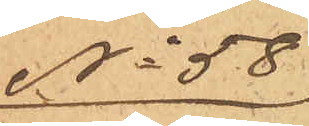No 58
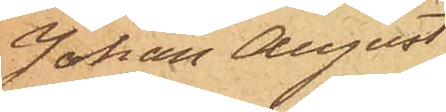Johan August
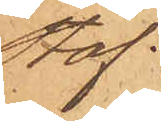Staf.
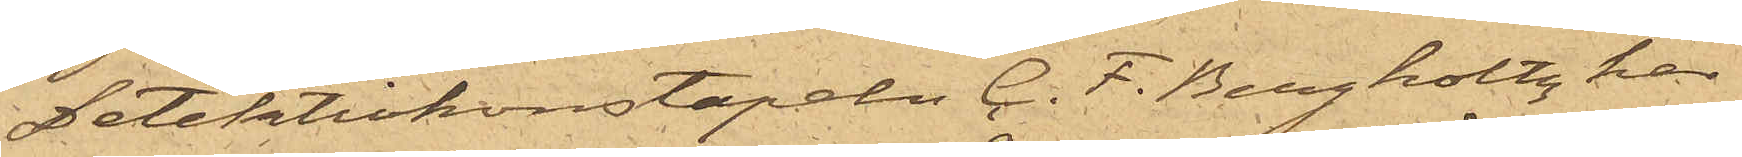Detektivkonstapeln C. F. Bergholtz har
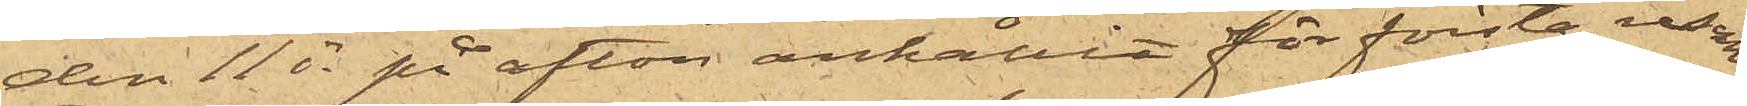den 11 ds på afton anhållit för första resan
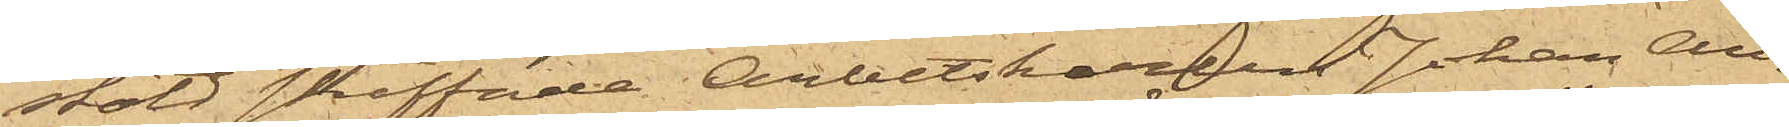stöld straffade Arbetskarlen Johan An¬
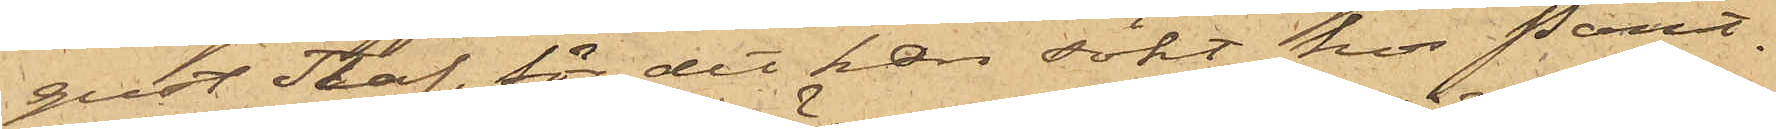gust Staf, för det han sökt hos Pant¬
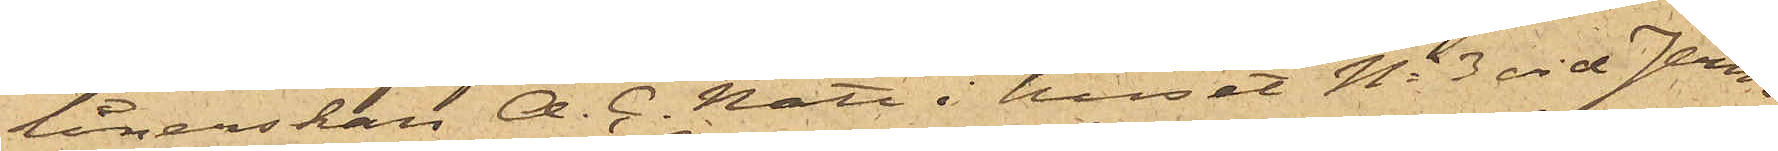lånerskan A. C. Nätt i huset No 3 vid Jern¬
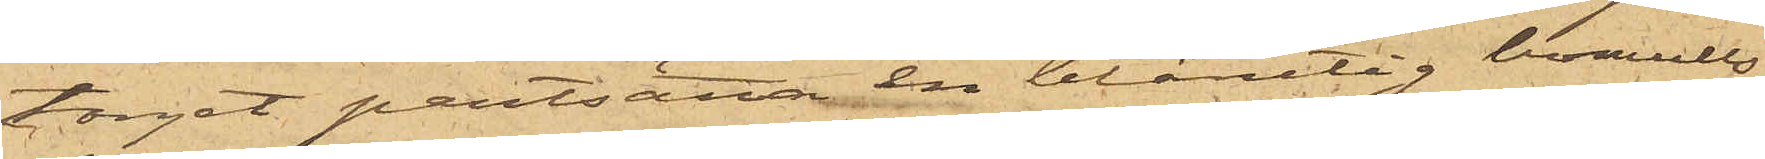torget pantsätta en blårutig bomulls¬
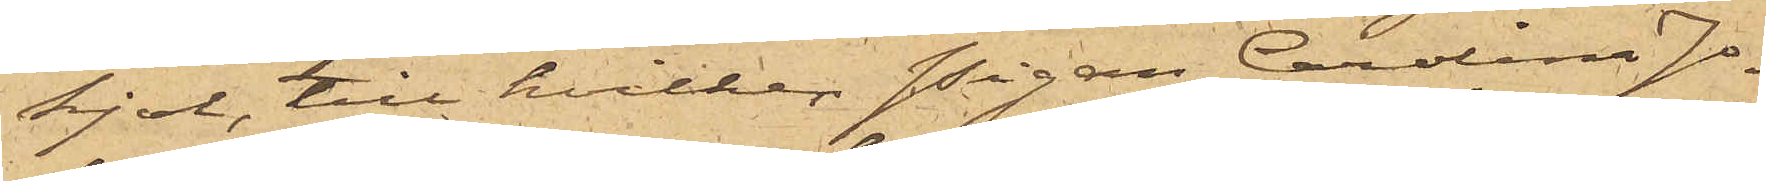kjol, till hvilken Pigan Carolina Jo¬
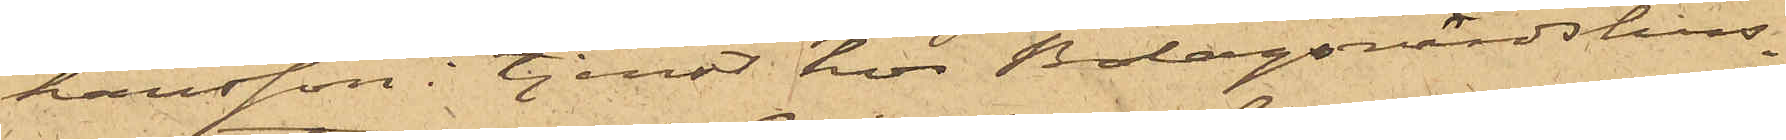hansson i tjenst hos Bolagsvärdshus¬
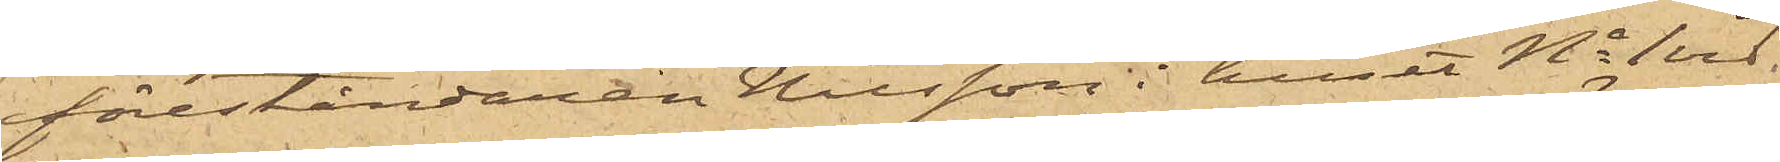föreståndaren Nilsson i huset No 1 vid
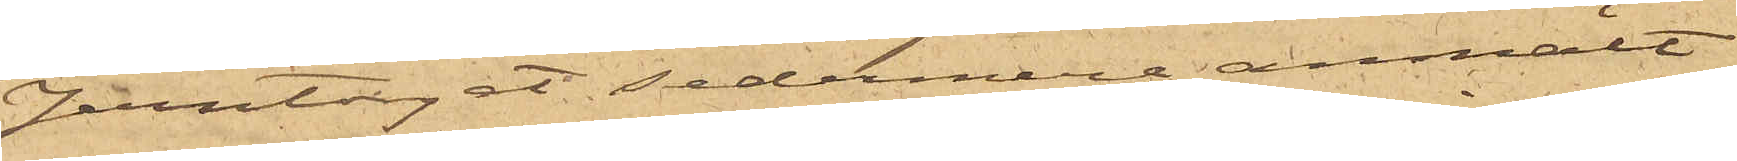Jerntorget sedermera anmält
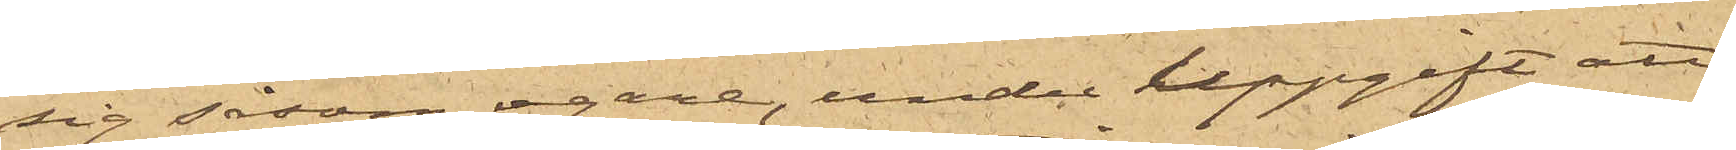sig såsom egare, under uppgift att
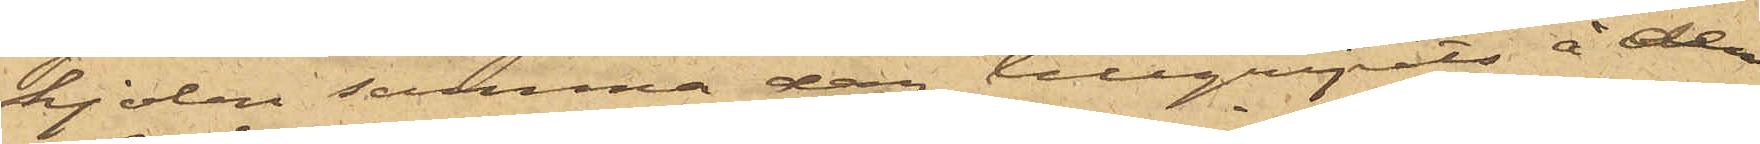kjolen samma dag tillgripits å den
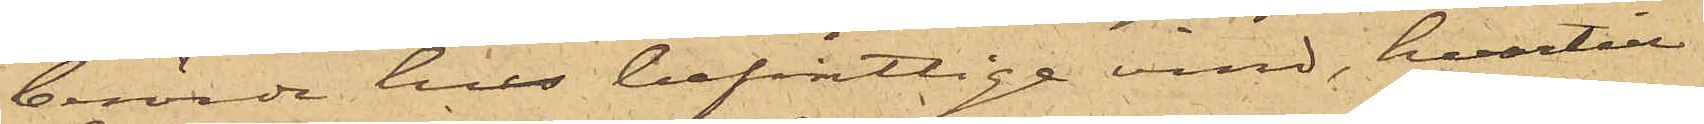i berörde hus befintlige vind, hvartill
